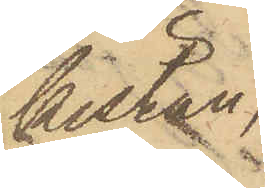kistan,
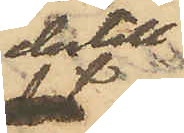dertill
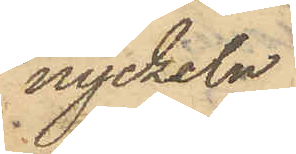nyckeln
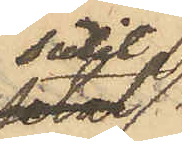suttit
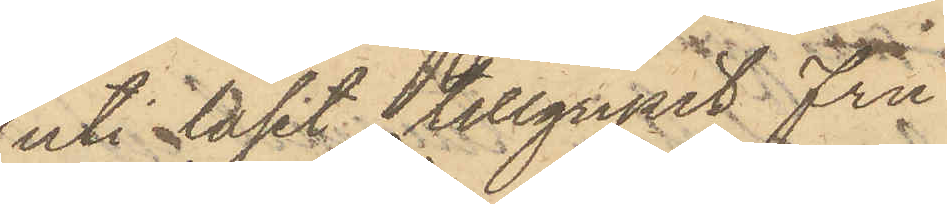uti låset, tillgripit Fru
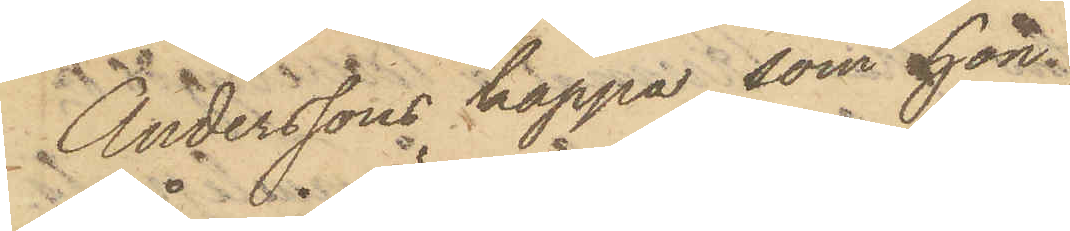Anderssons kappa, som hon
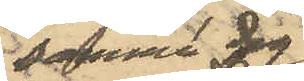samma dag
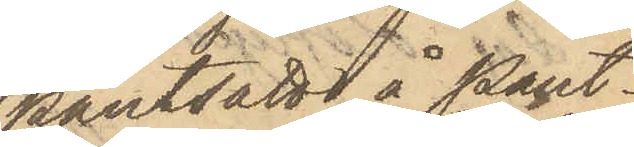pantsatt å Pant¬
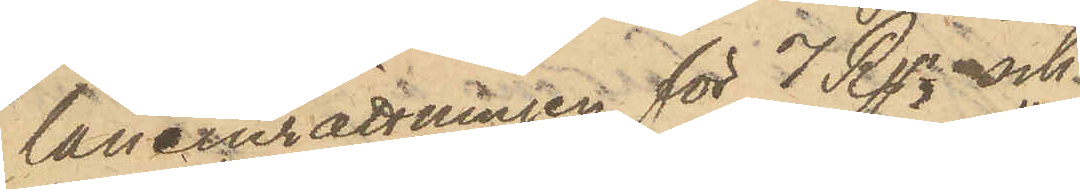låneinrättningen för 7 Rgr, och
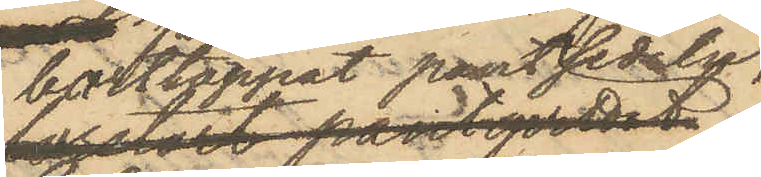borttappat pantsedeln,
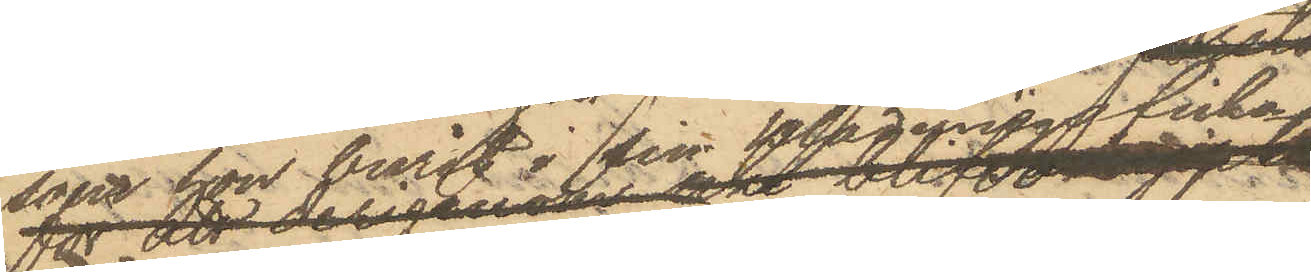som hon burit i sin klädningsficka.
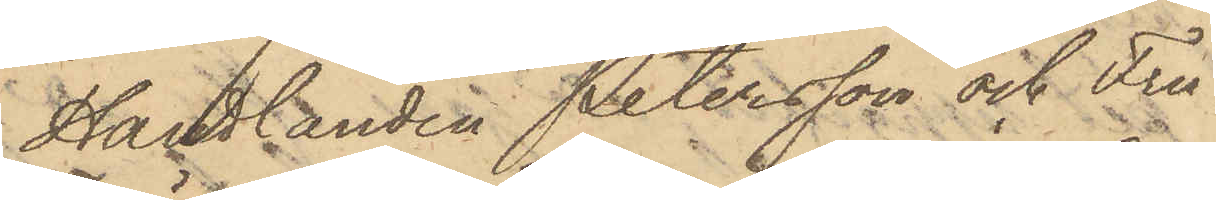Handlanden Petersson och Fru
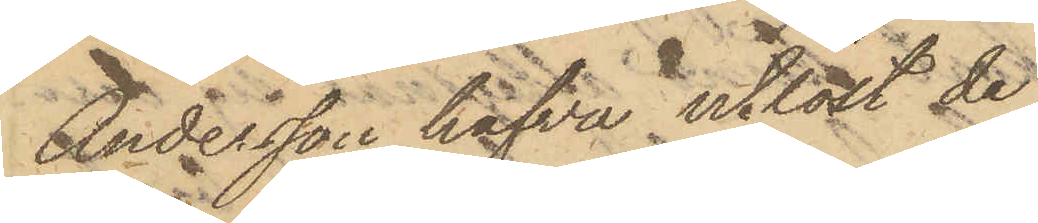Andersson hafva utlöst de
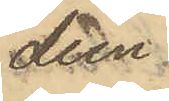dem
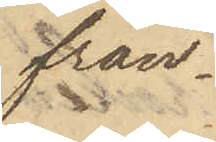från¬
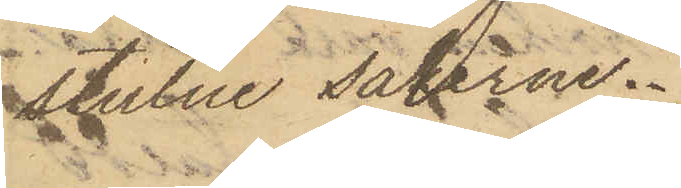stulne sakerne.
